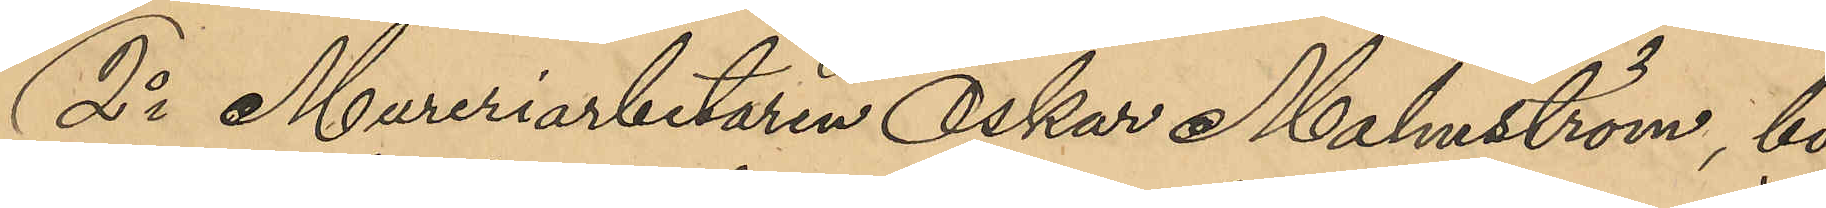2o Mureriarbetaren Oskar Holmström, bo¬
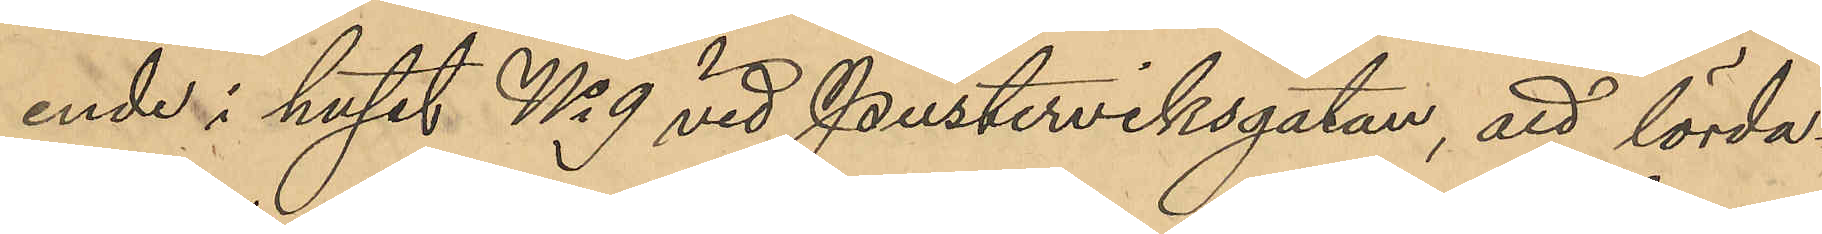ende i huset No 9 vid Pusterviksgatan, att lörd¬
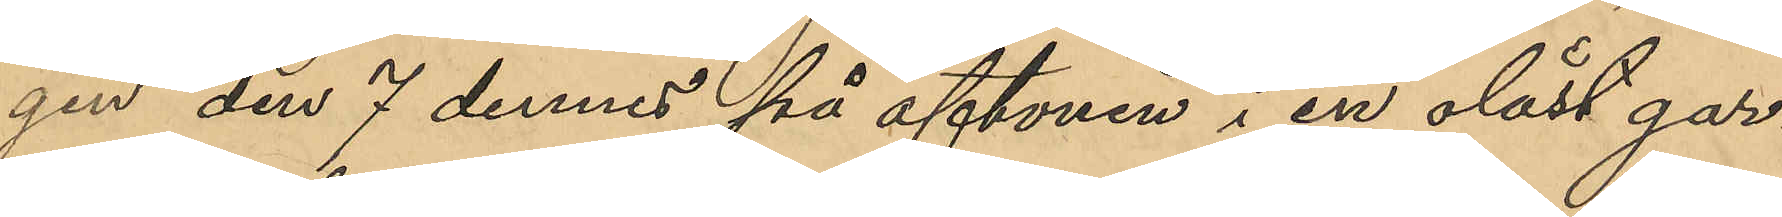gen den 7 dennes på aftonen i en olåst gar¬
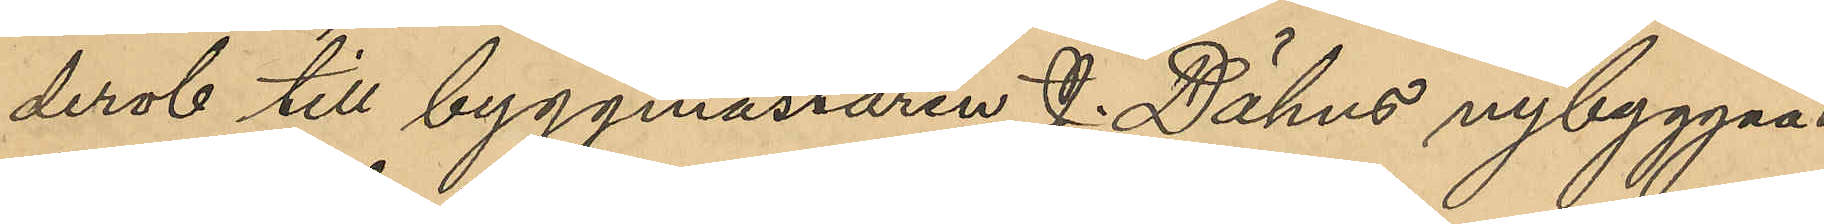derob till byggmästaren J. Dähns nybyggnad
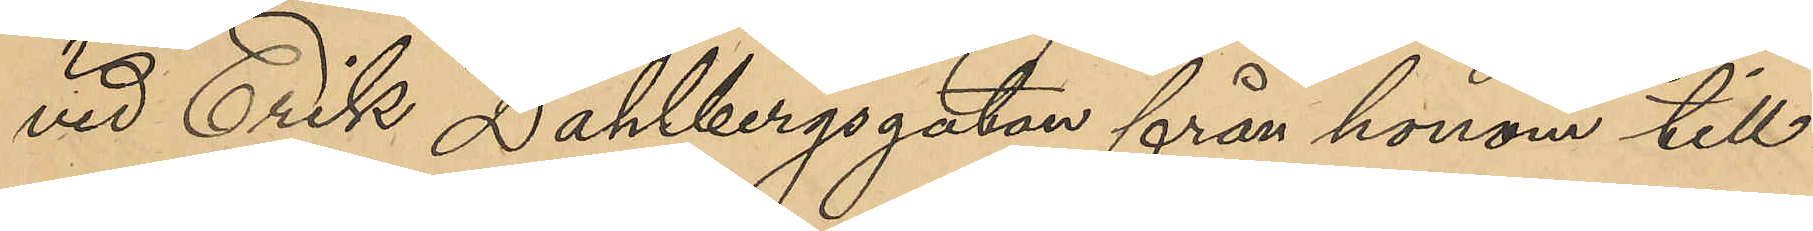vid Erik Dahlbergsgatan från honom till¬
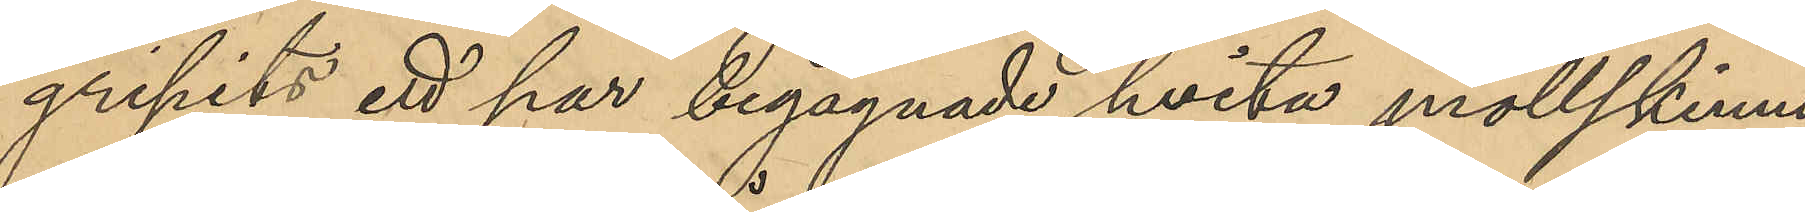gripits ett par begangnade hvita mollskinns¬
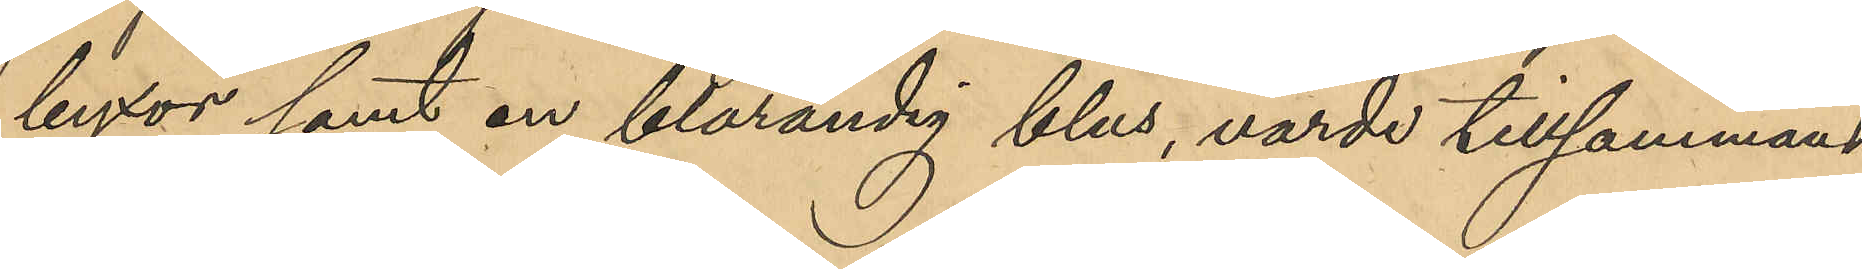byxor samt en blårandig blus, värde tillsammans
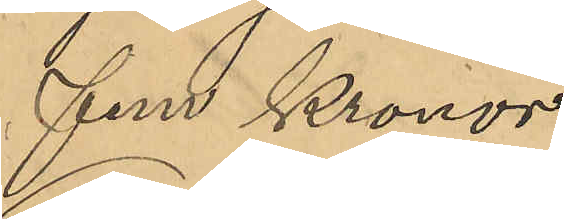fem kronor.
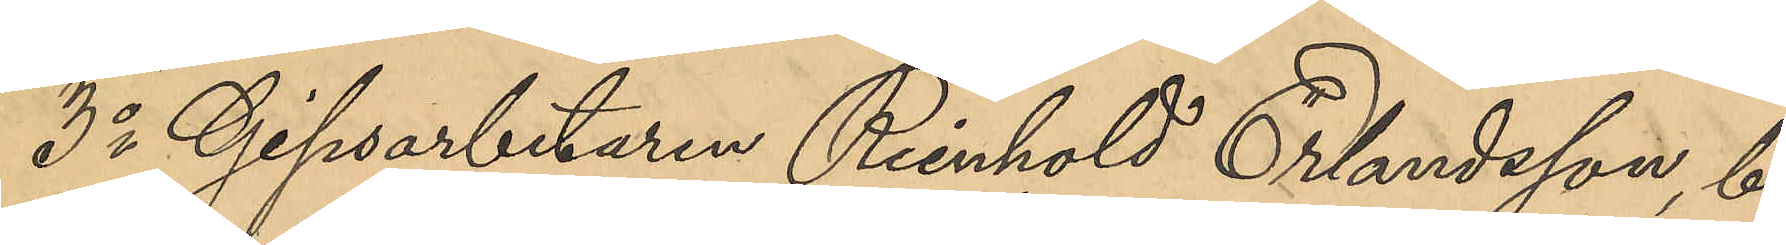3o Gipsarbetaren Reinhold Erlandsson, bo¬
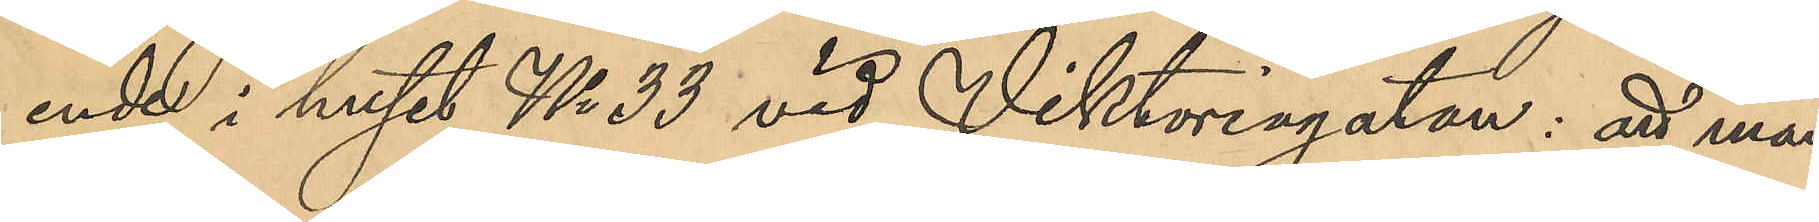ende i huset No 33 vid Viktoriagatan: att mån¬
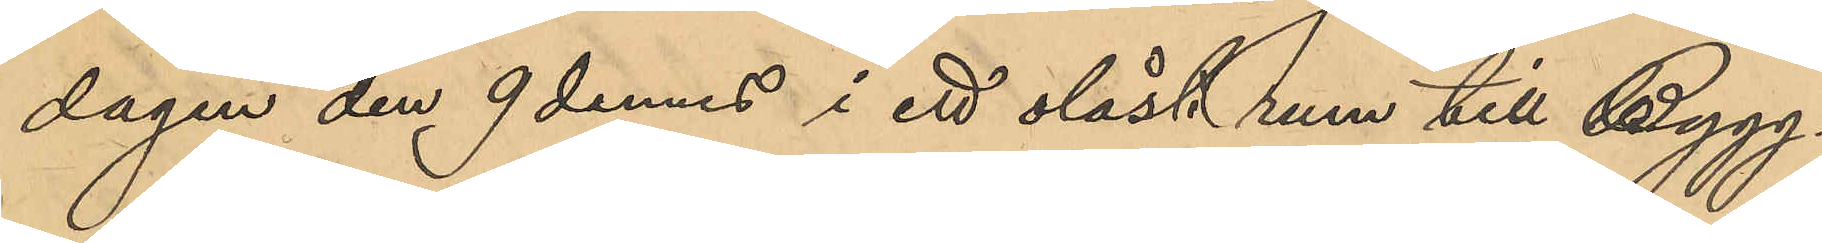dagen den 9 dennes i ett olåst rum till Bygg¬
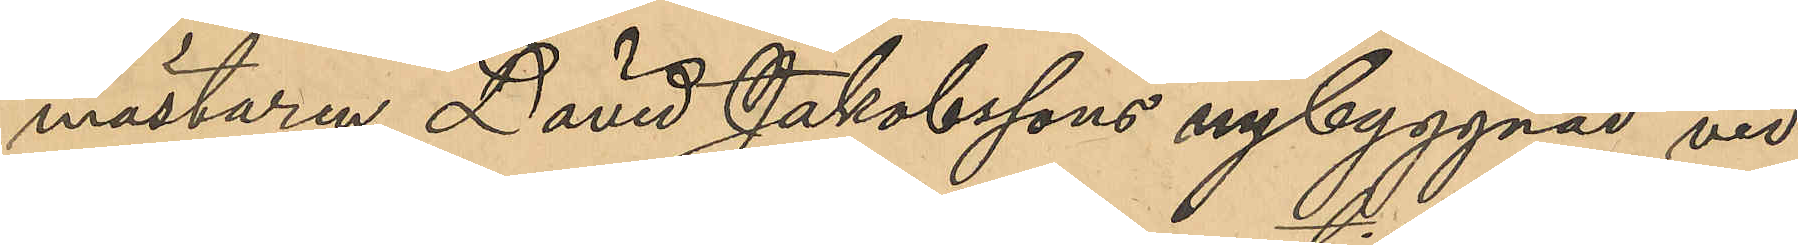mästaren David Jakobssons nybyggnad vid
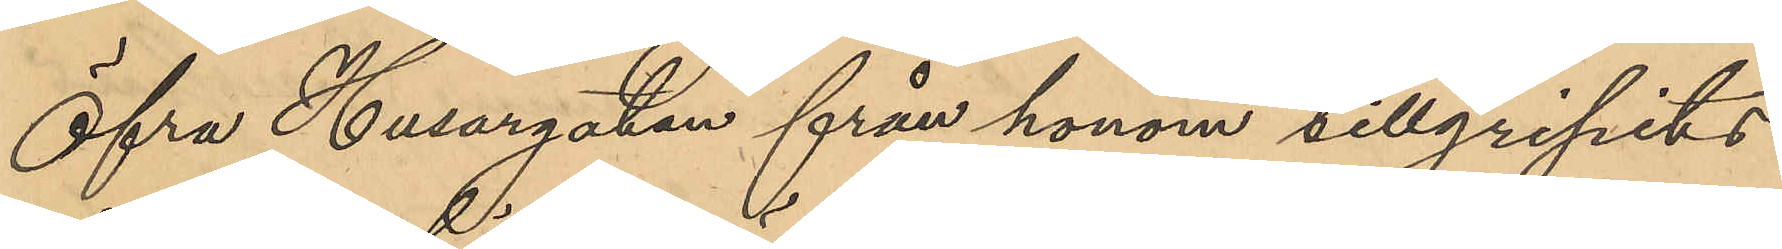Öfra Husargatan från honom tillgripits
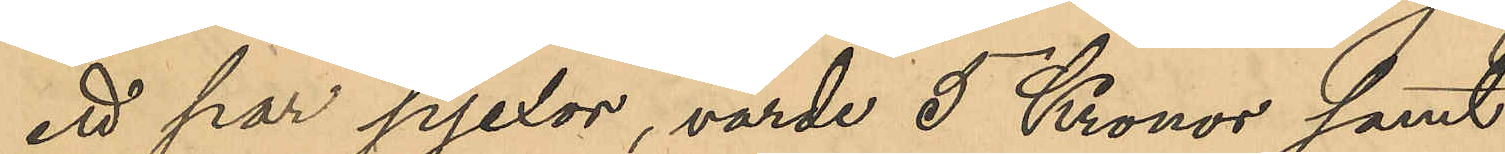ett par pjexor, värde 5 Kronor samt
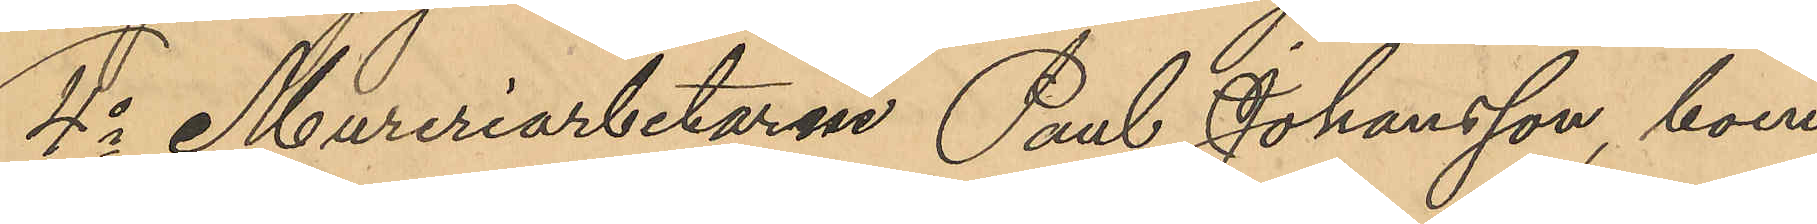4o Mureriarbetaren Paul Johansson, boen¬
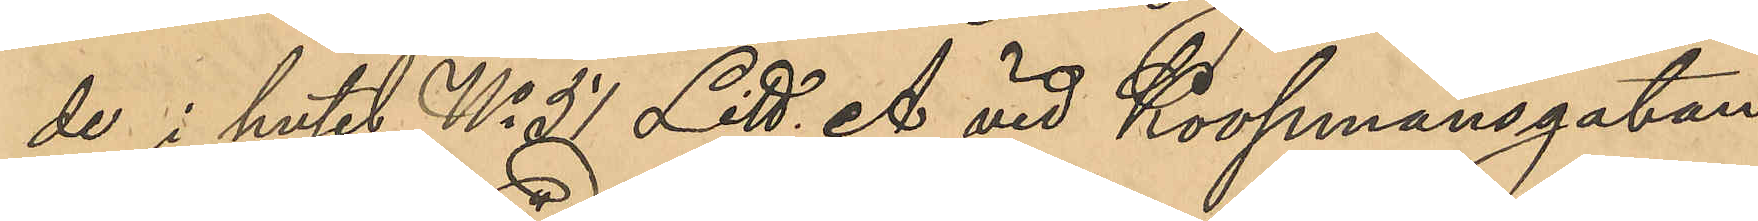de i huset No 51 Litt. A vid Koopmansgatan,
